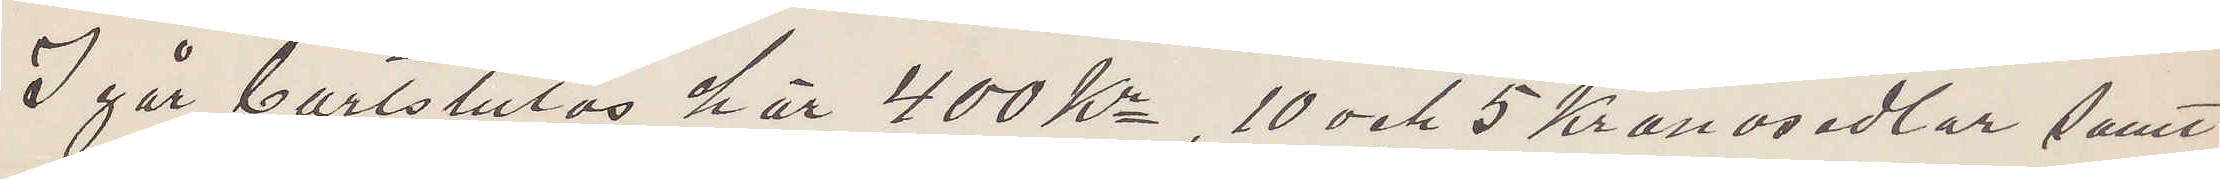I går bortstulos har 400 Kr, 10 och 5 Kronosedlar samt
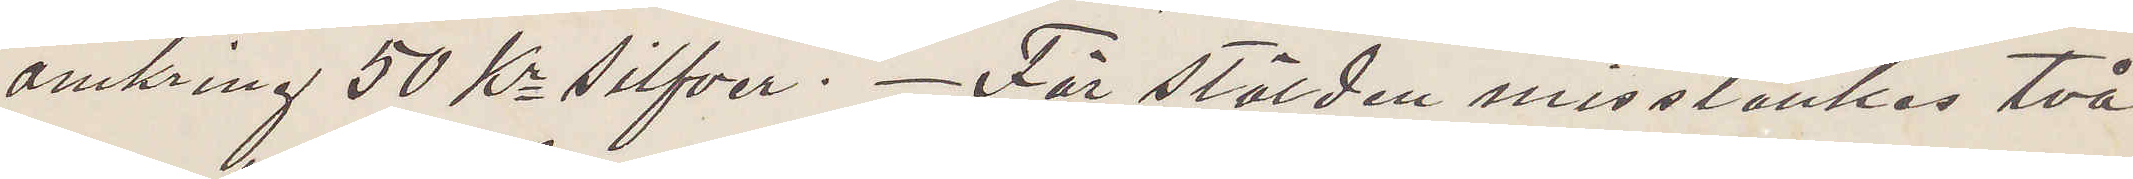omkring 50 Kr silfver. För stölden misstänkes två
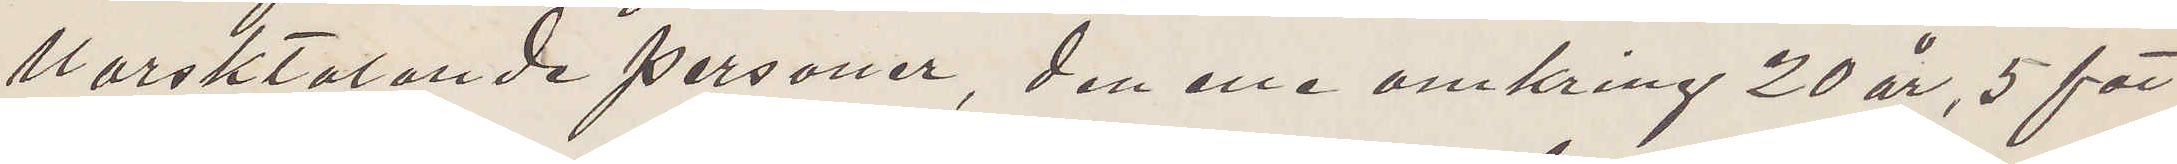hörsktalande personer, den ene omkring 20 år, 5 fot
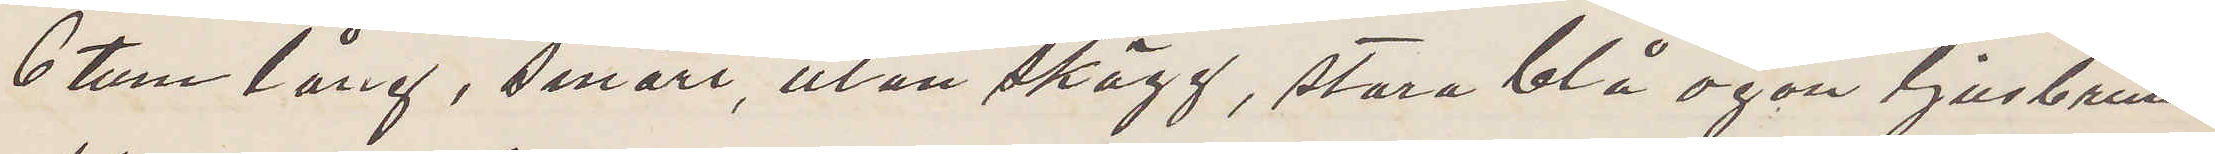6 tum lång, smärt, utan skägg, stora blå ögon ljusbrunt
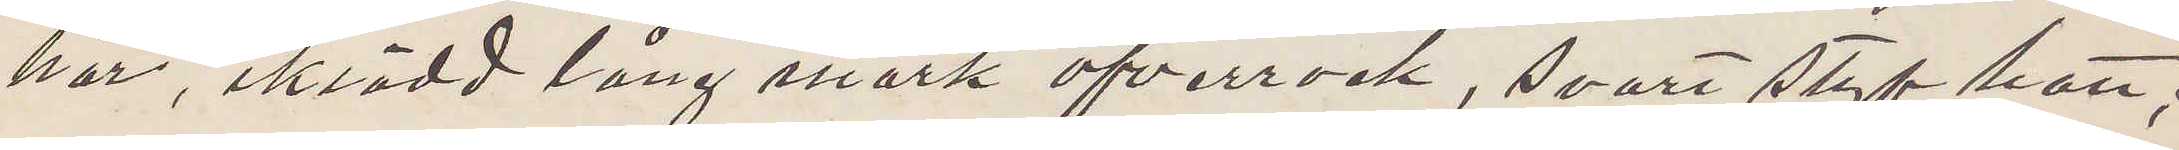hår, iklädd lång mörk öfverrock, svart styf hatt;
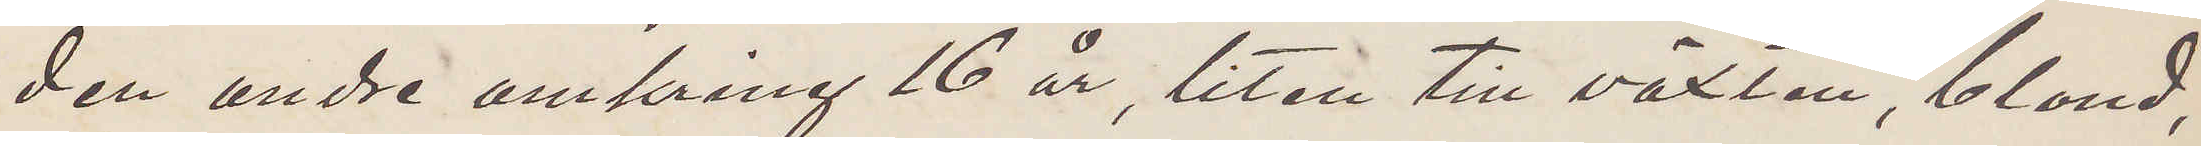den andre omkring 16 år, liten till växten, blond,
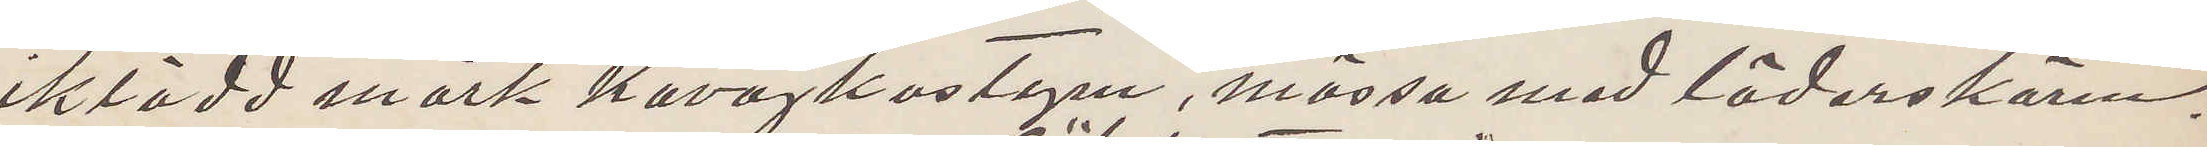iklädd mörk kavajkostym, mössa med lädarskärm.
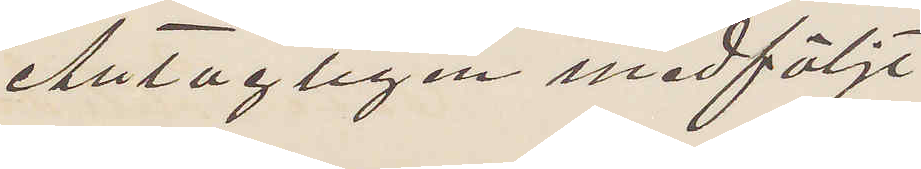Antagligen medföljt
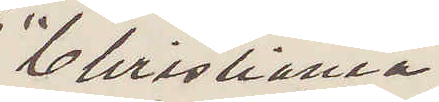"Christiania"
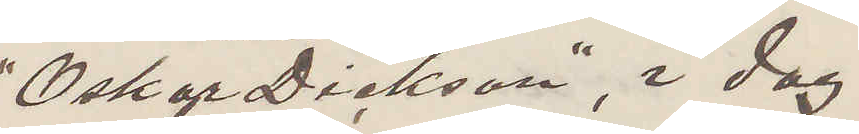"Oskar Dickson", i dag
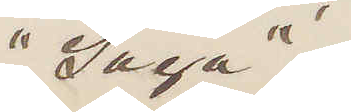"Saga"
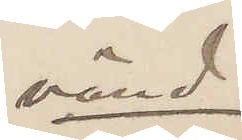vänd
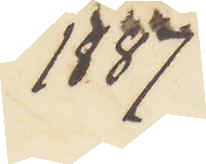1887
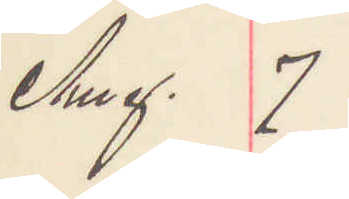Aug. 7
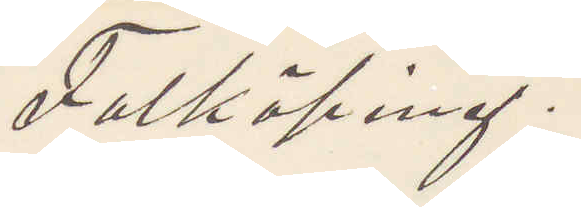Falköping.
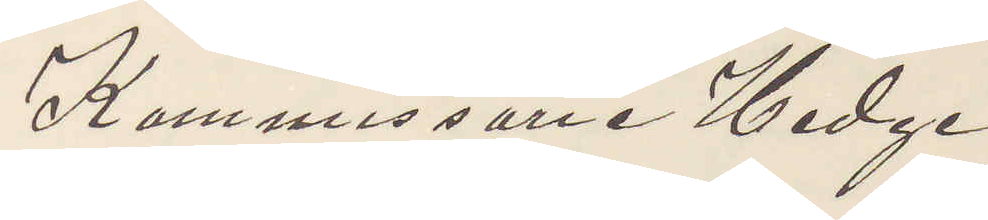Kommissarie Hedge
